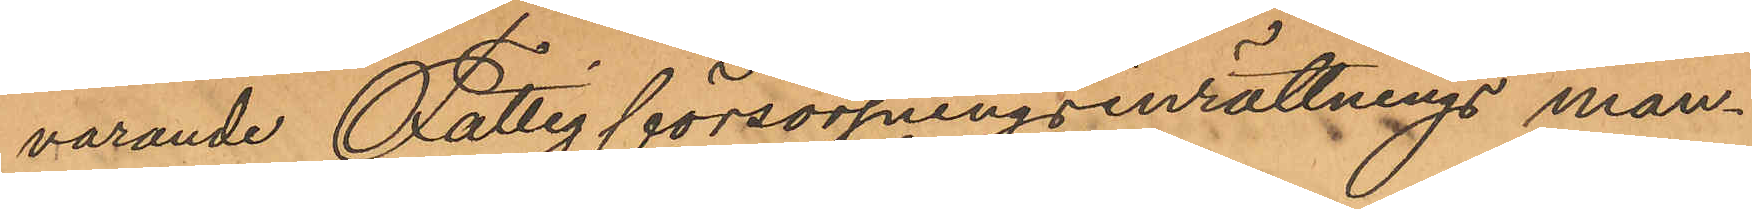varande Fattigförsörjningsinrättnings man¬
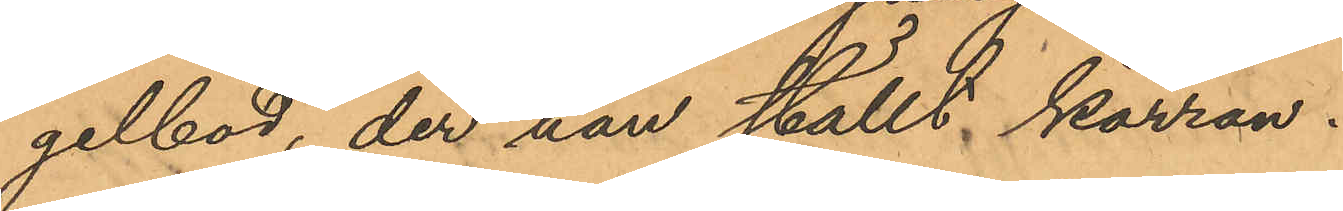gelbod, der han ställt kärran.
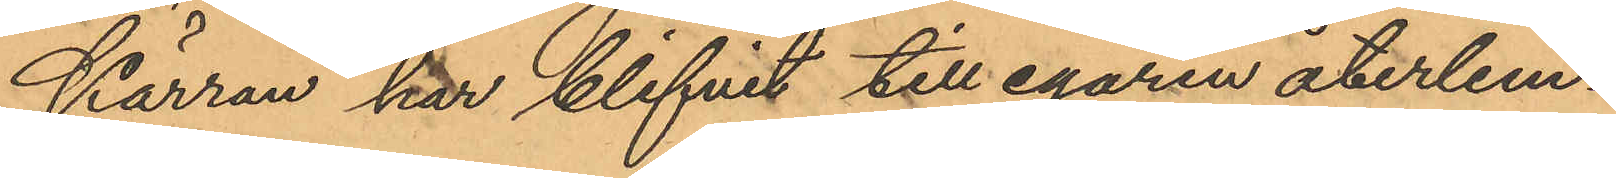Kärran har blifvit till egaren återlem¬
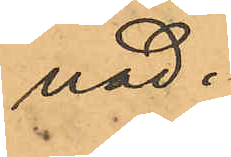nad.
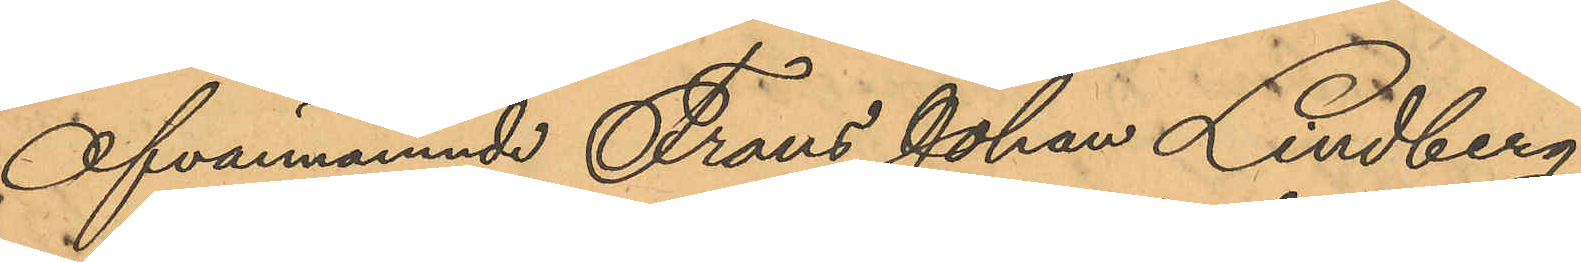Ofvannämnde Frans Johan Lindberg
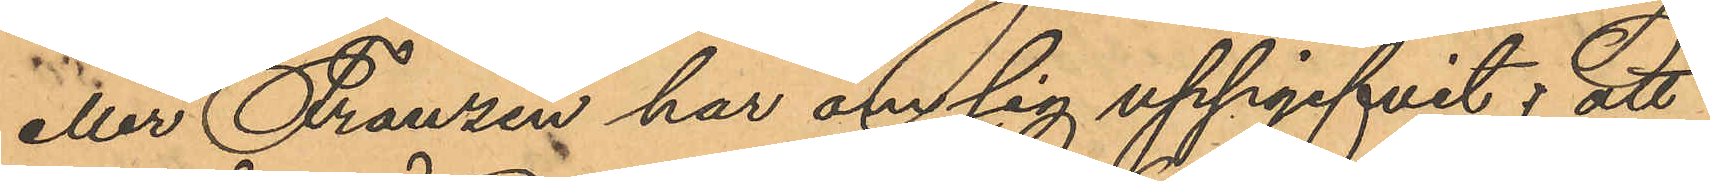eller Franzén har om sig uppgifvit; att
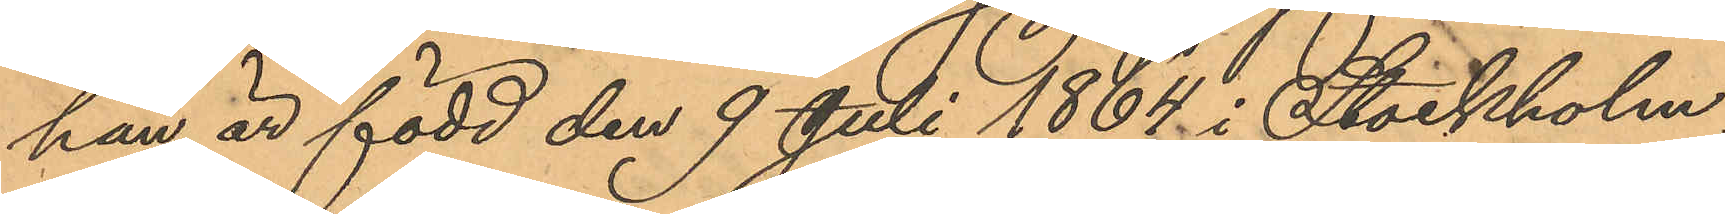han är född den 9 Juli 1864 i Stockholm;
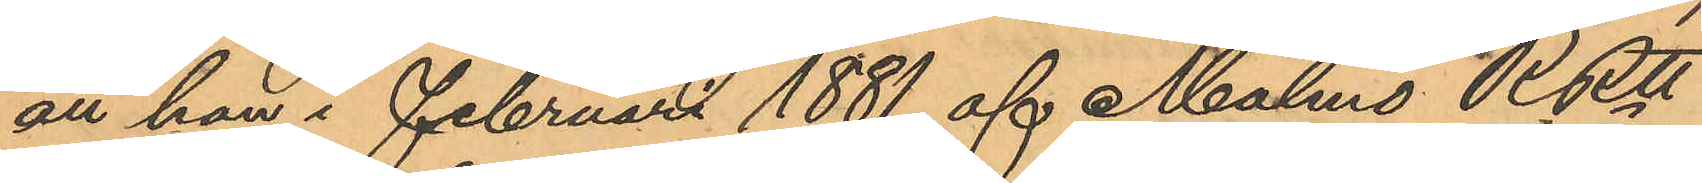att han i Februari 1881 af Malmö RRtt
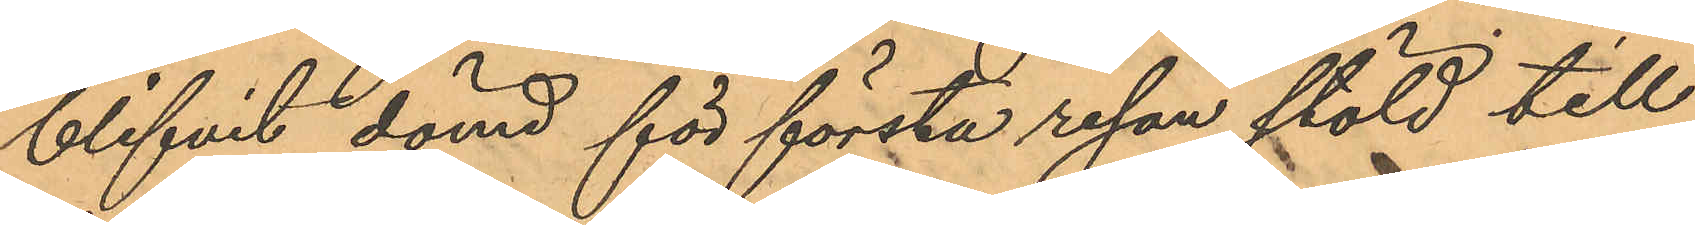blifvit dömd för första resan stöld till
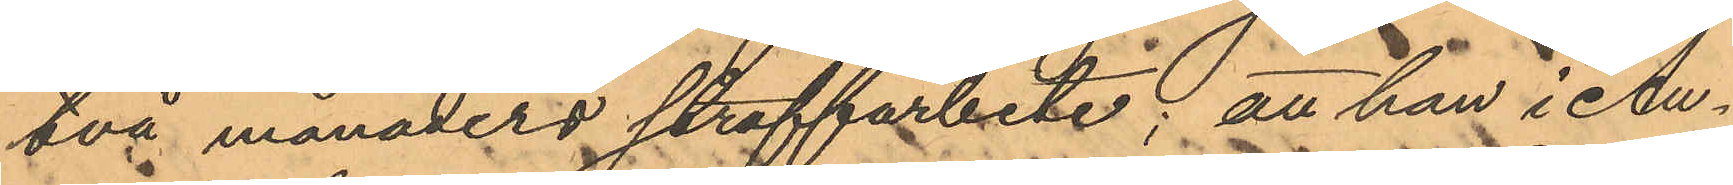två månaders straffarbete; att han i Au¬
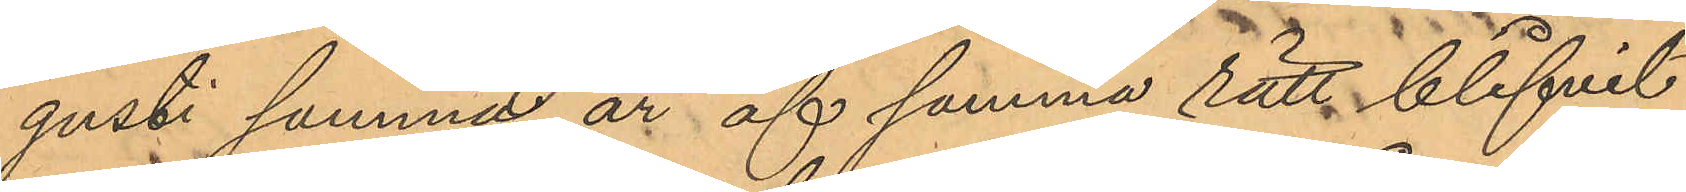gusti samme är af samma rätt blifvit
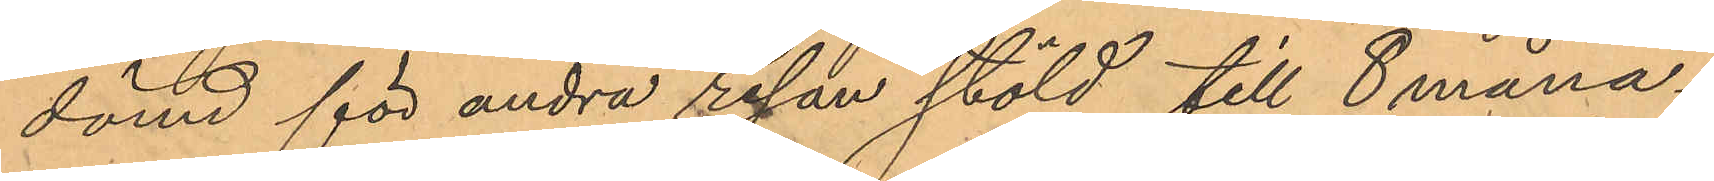dömd för andra resan stöld till 8 måna¬
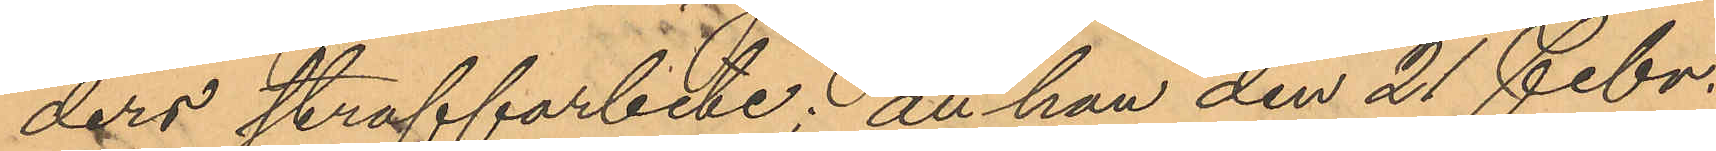ders straffarbete; att han den 21 Febr.
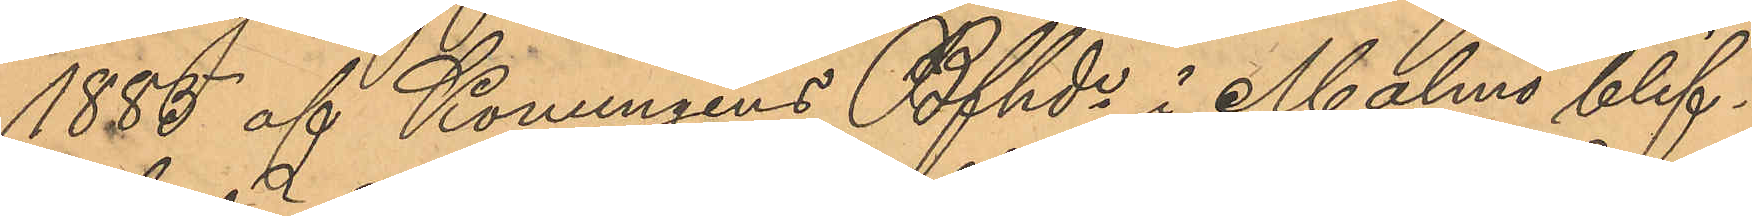1885 af Konungens Bfhde i Malmö blif¬
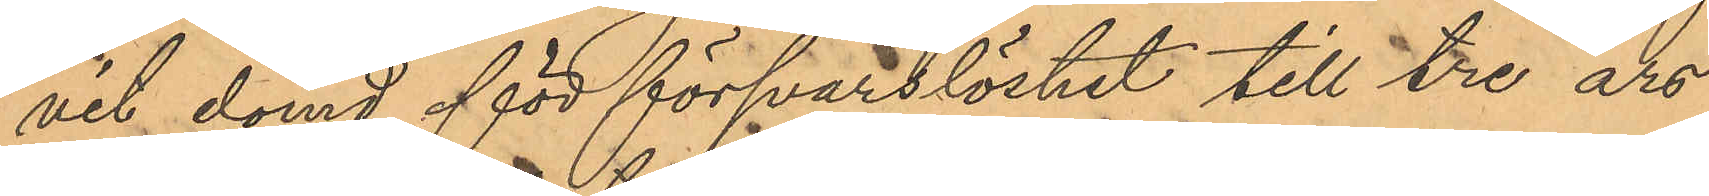vit dömd för försvarslöshet till tre års
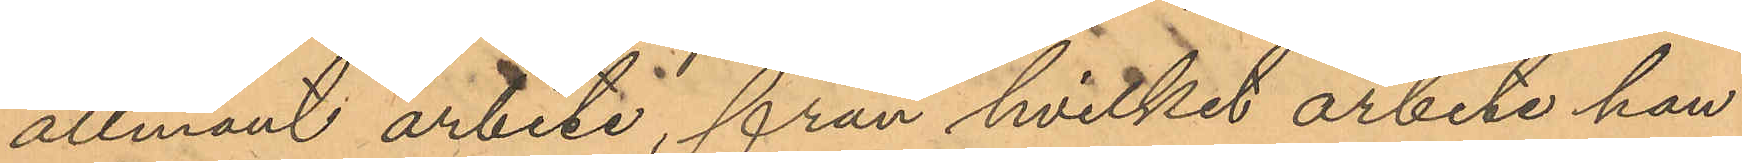allmänt arbete, från hvilket arbete han
